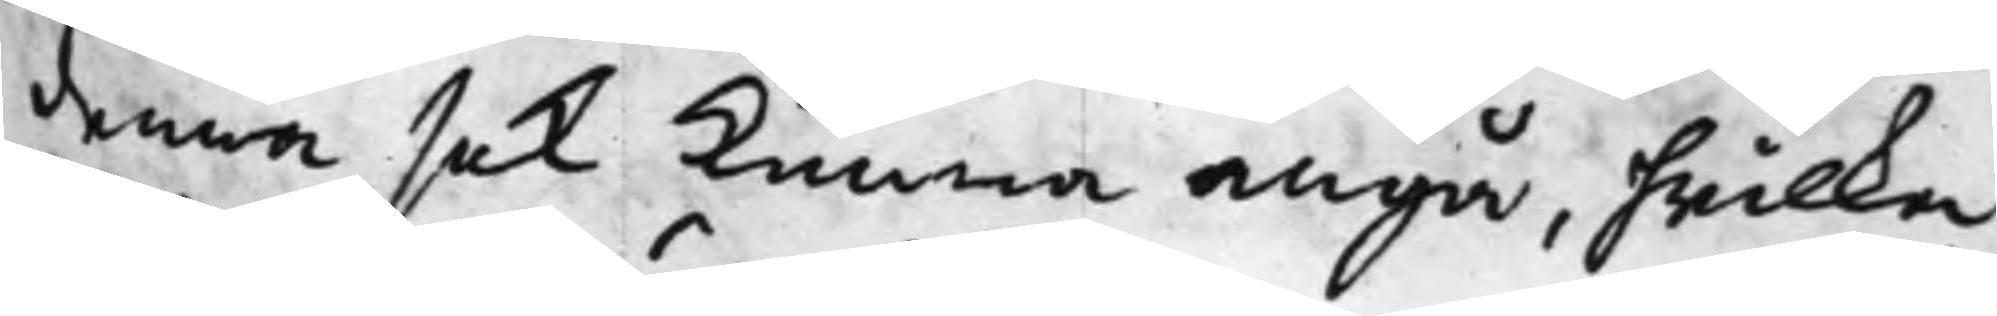denna sak kunna angå, hwilka
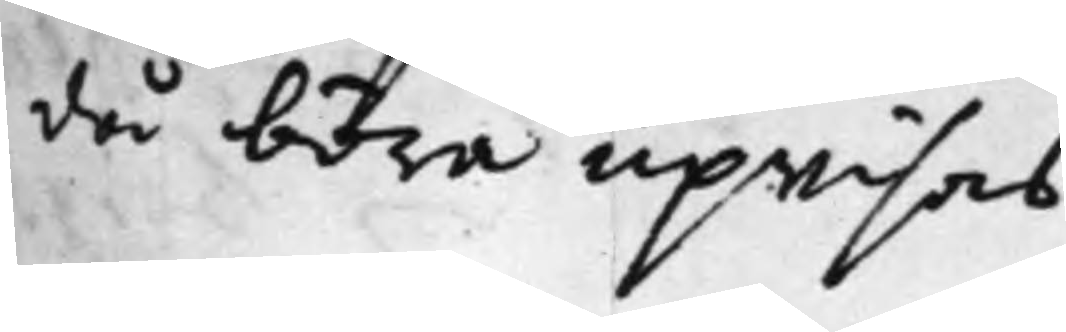då böra upwisas.
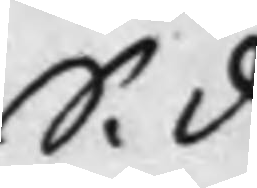S. d
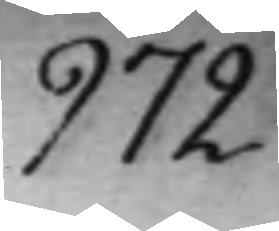972.
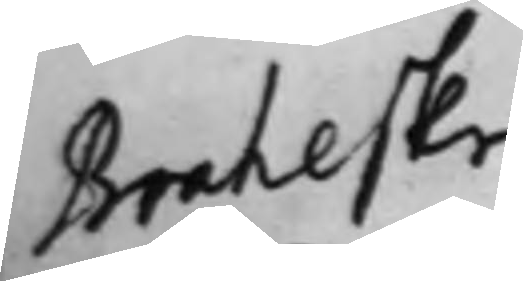Braheske
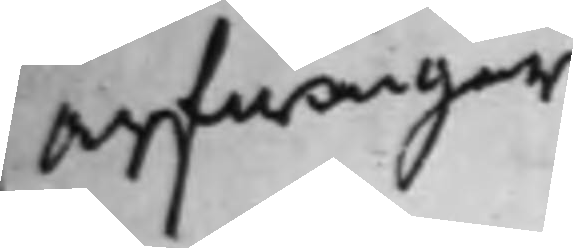Arfwingar¬
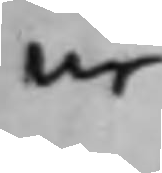ne
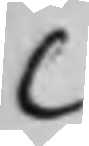C
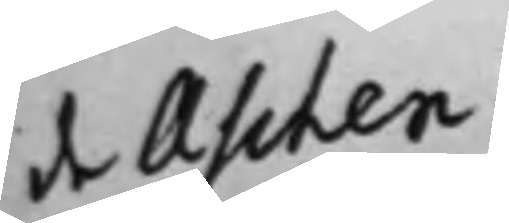de Aschen¬
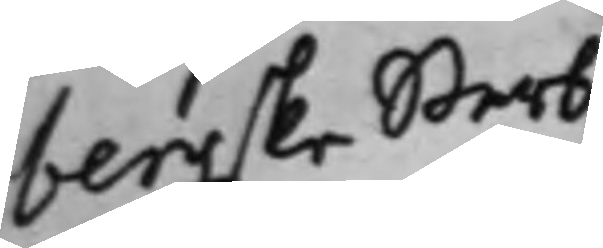bergske Sterb¬
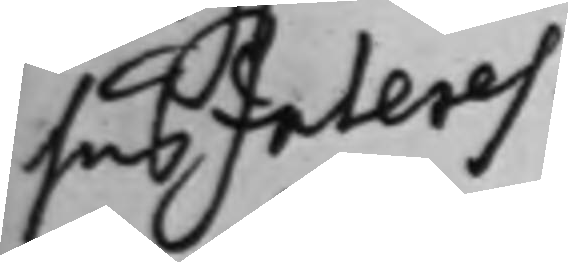husInteres¬
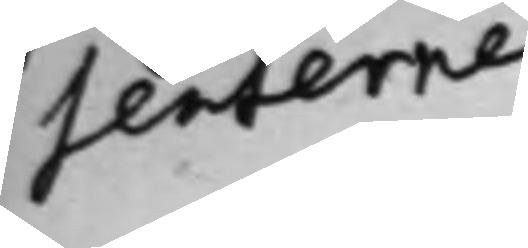senterne
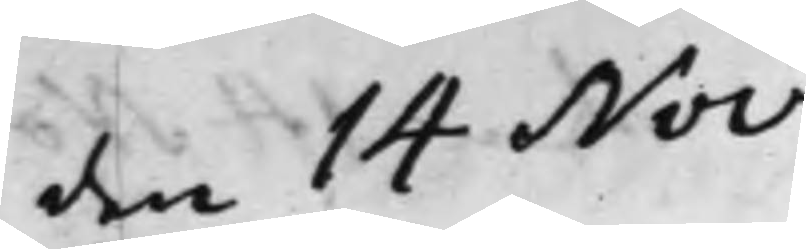den 14 Nov.
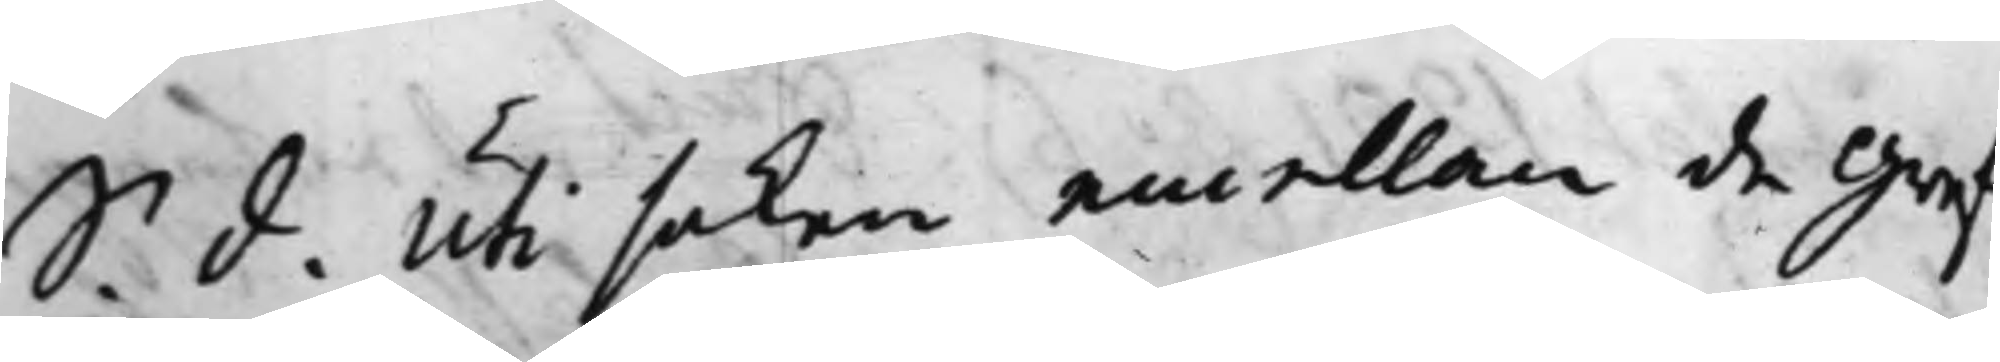S. d. Uti saken emellan de Gref¬
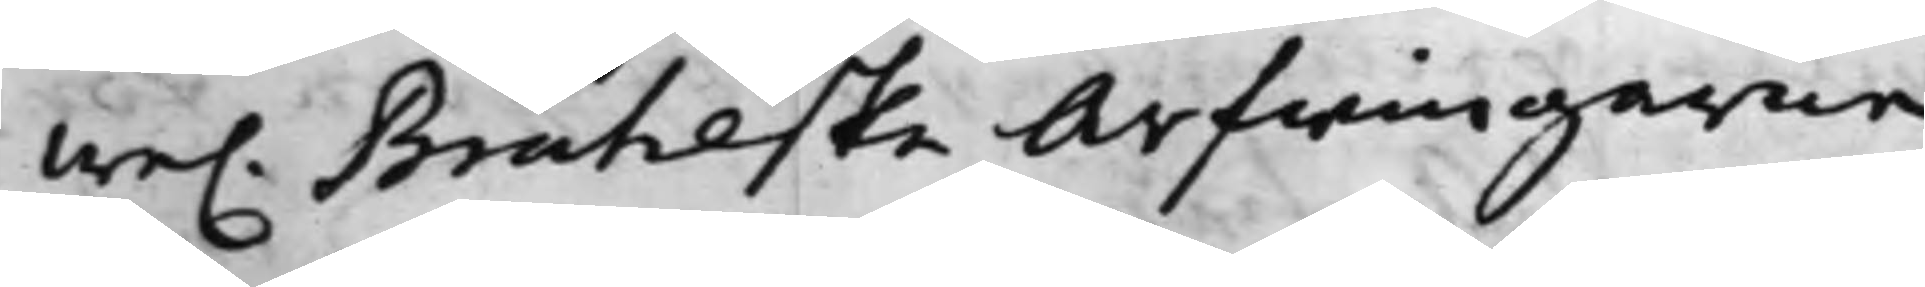we. Braheske Arfwingarne
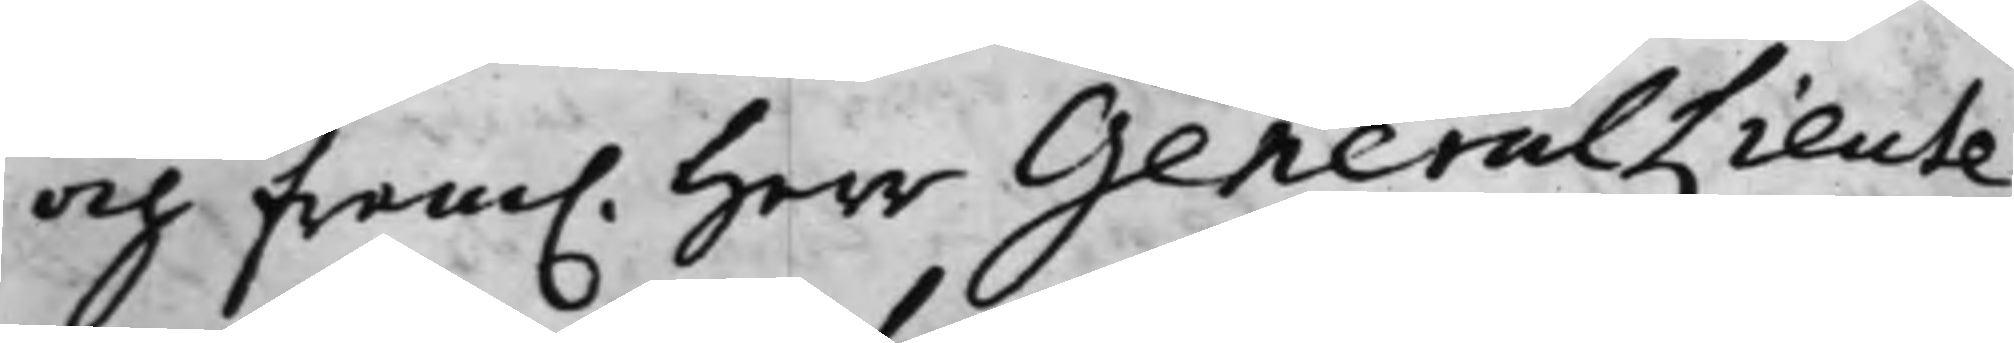och fram. Herr GeneralLieute¬
